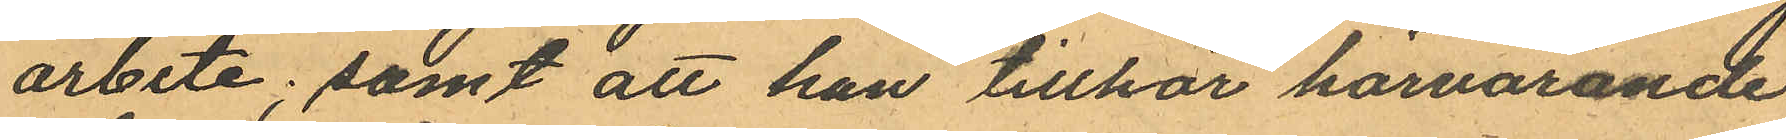arbete; samt att han tillhör härvarande
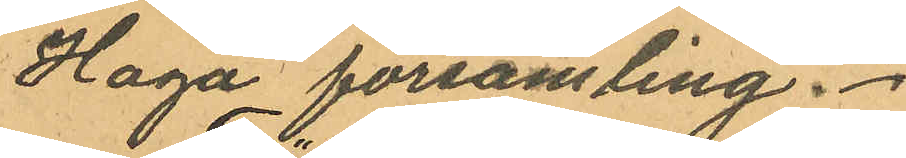Haga församling.
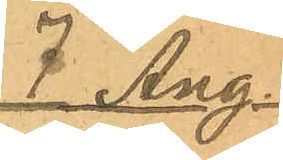7 Aug.
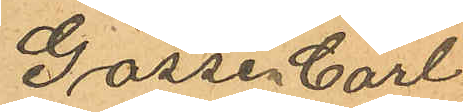Gossen Carl
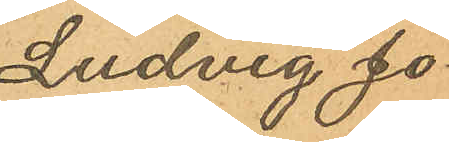Ludvig Jo¬
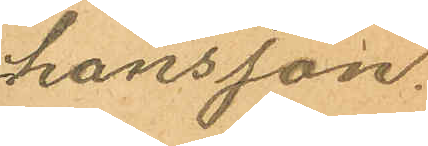hansson.
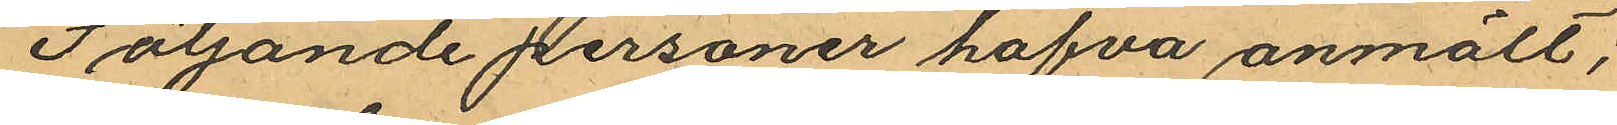Följande personer hafva anmält;
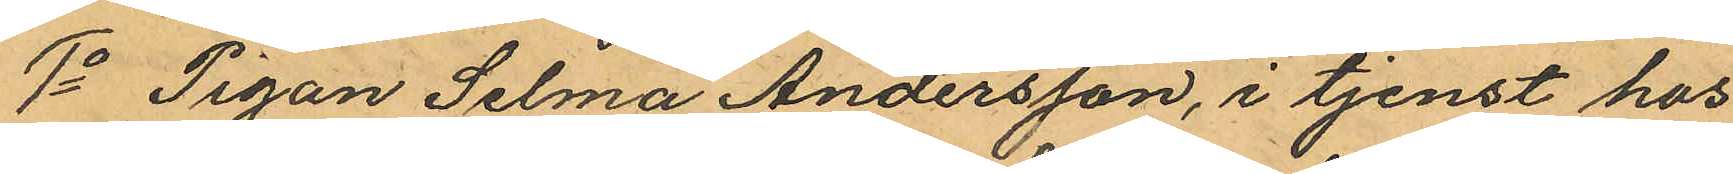1o Pigan Selma Andersson, i tjenst hos
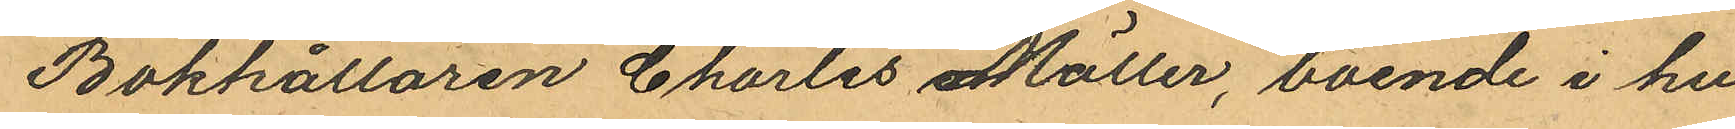Bokhållaren Charles Möller, boende i hu¬
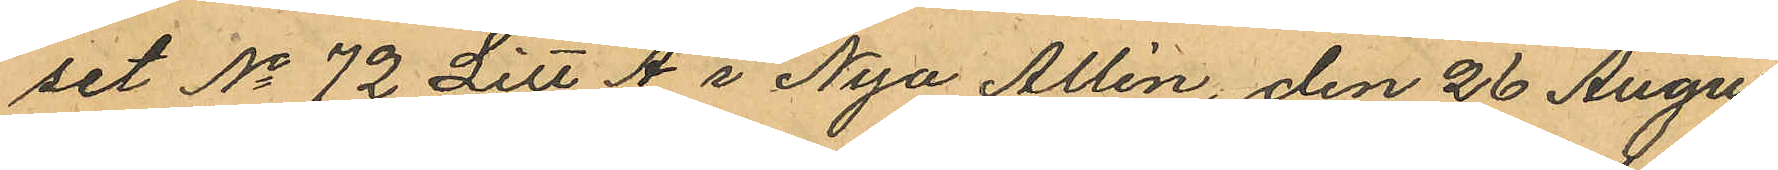set No 72 Litt A i Nya Allén, den 26 Augus¬
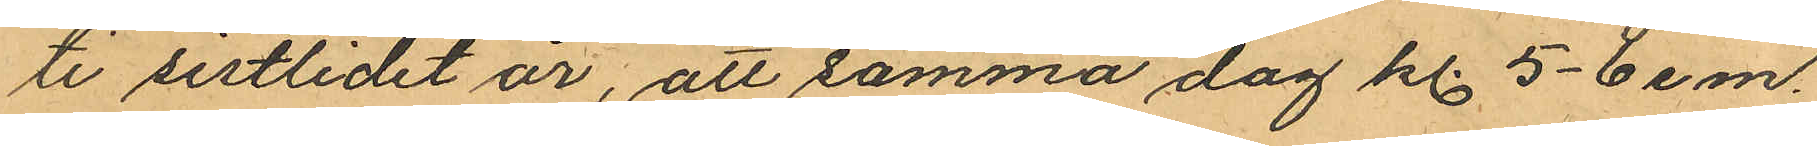ti sistlidet år, att samma dag kl. 5-6 e.m.
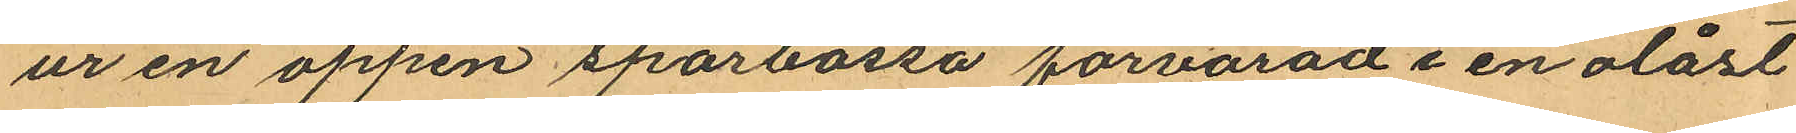ur en öppen sparbössa förvarad i en olåst
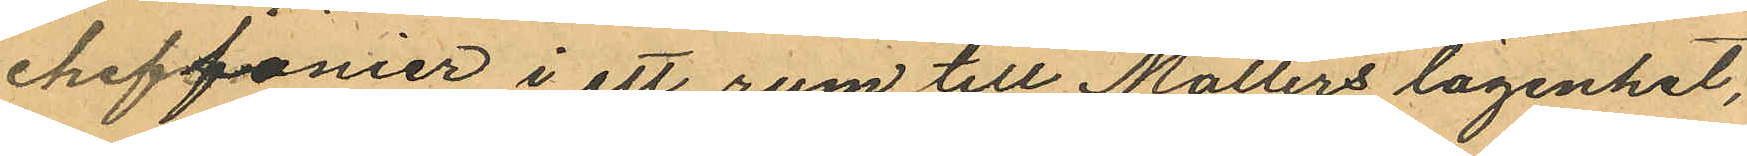cheffonier i ett rum till Möllers lägenhet,
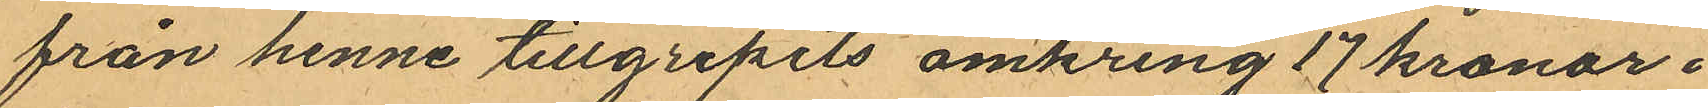från henne tillgripits omkring 17 kronor.
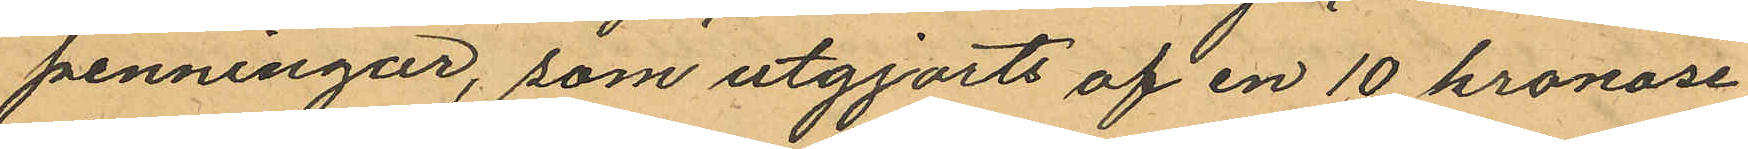penningar, som utgjorts af en 10 kronose¬
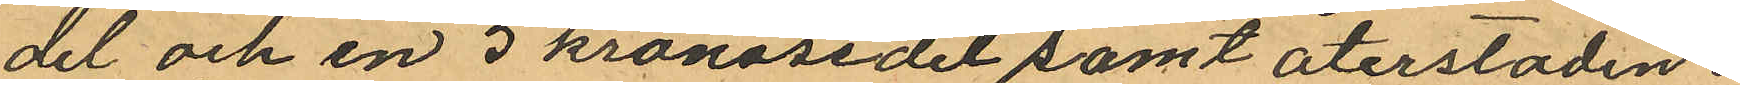del och en 5 kronosedel samt återstoden i
